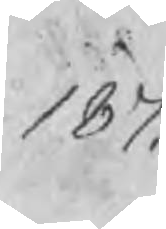187.
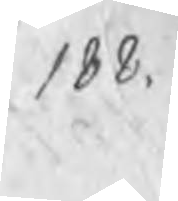188.
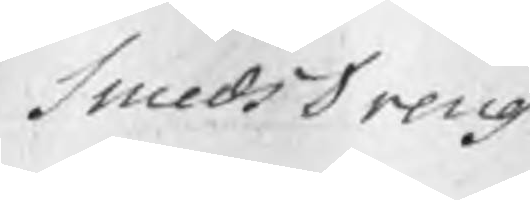SmedsDreng
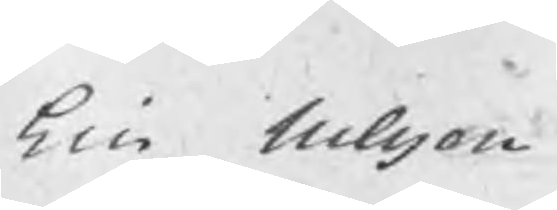Eric Nilsson
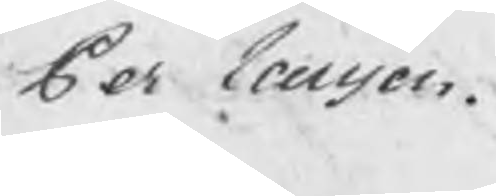Per Larsson.
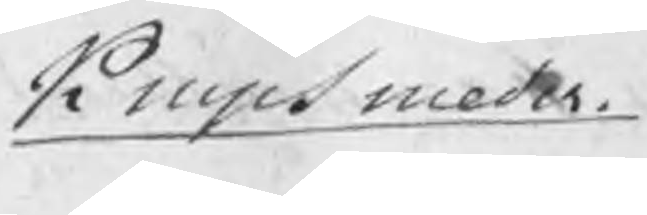Knipsmeder
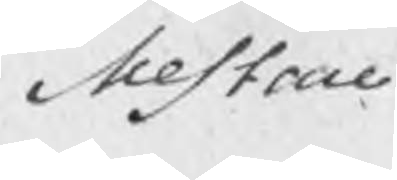Mestare
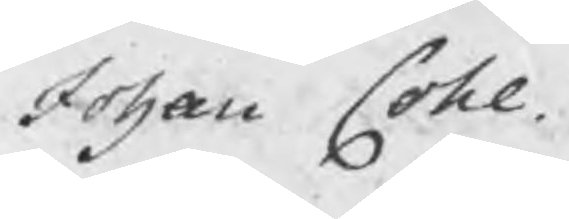Johan Cohl
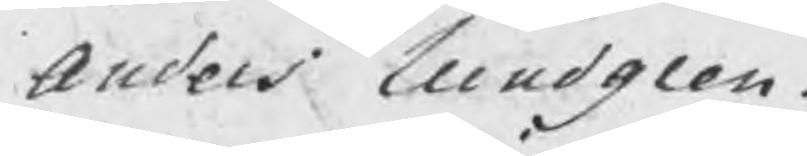Anders Lundgren.
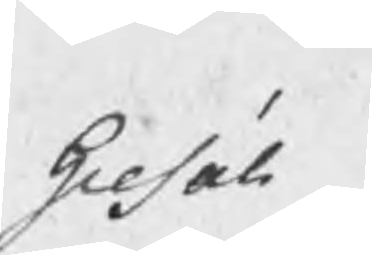Gesäll
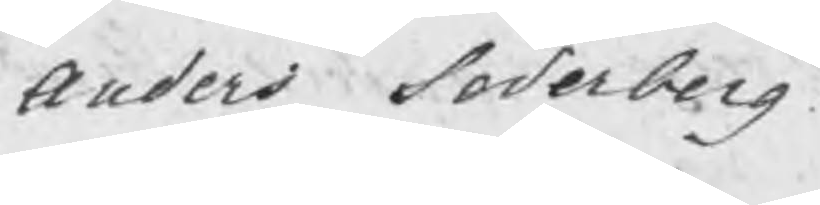Anders Söderberg
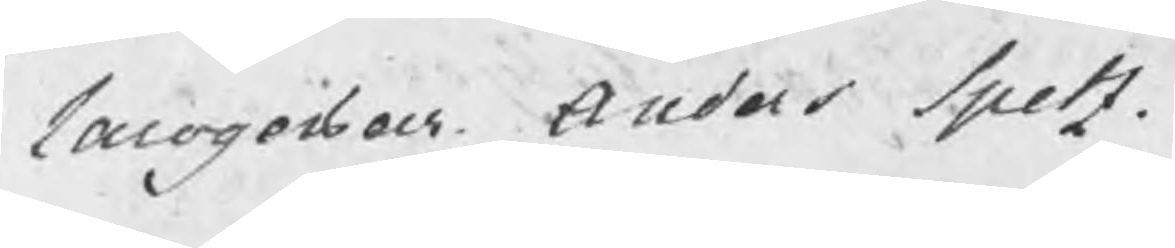Larogossar Anders Spetz.
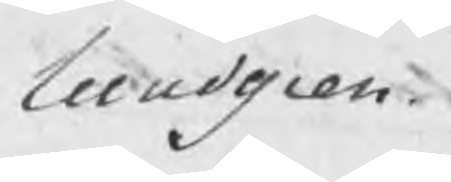Lundgren.
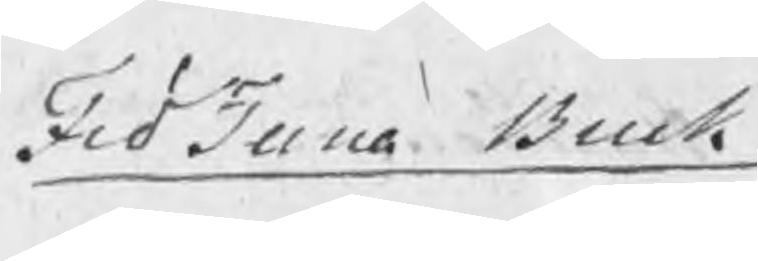FröTuna Bruk
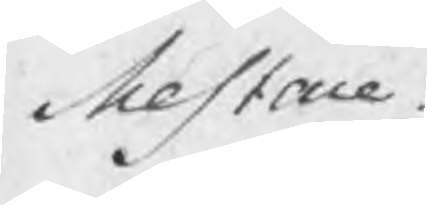Mestare
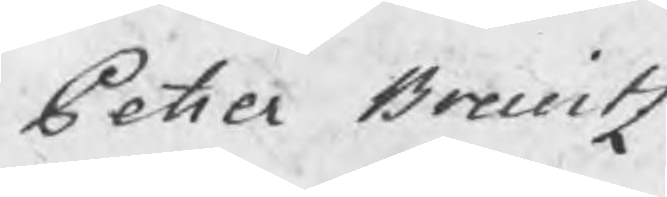Petter Breuitz
